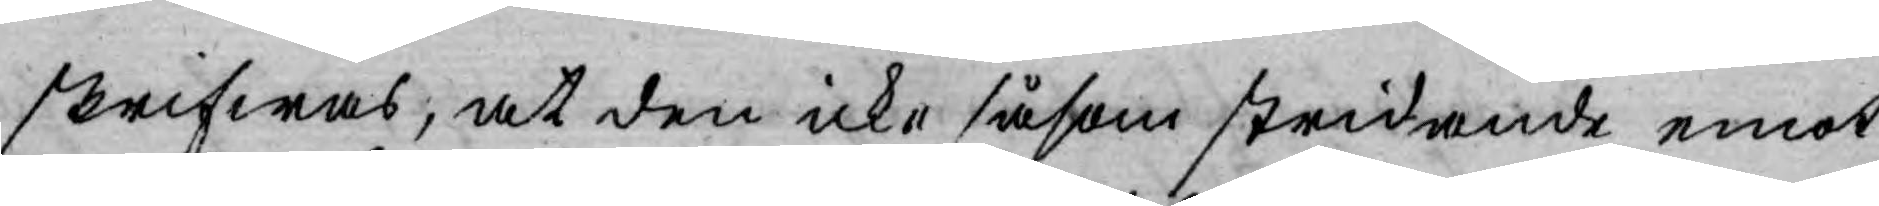skrifwas, at den icke såsom stridande emot
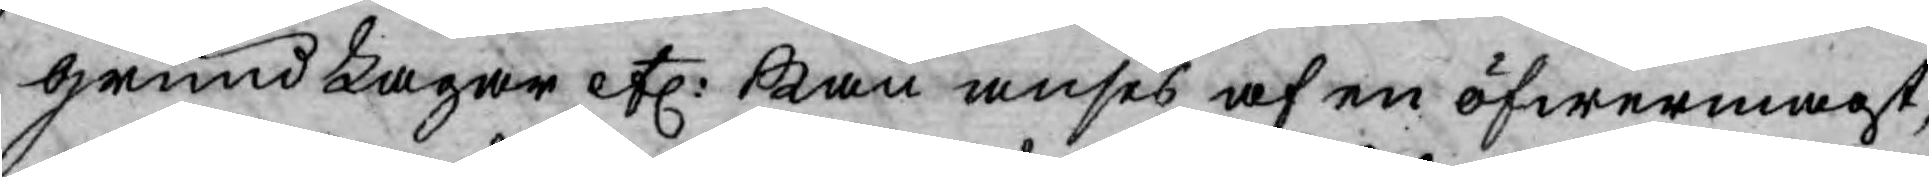grund Lagar etc: kan anses af en öfwermagt,
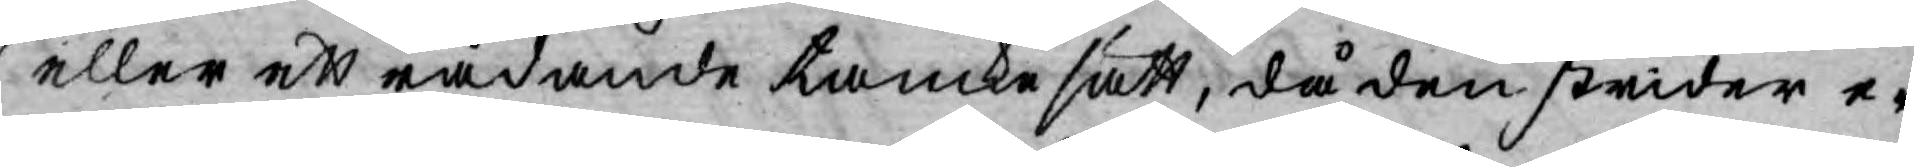eller ett rådande tancke sätt, då den strider e¬
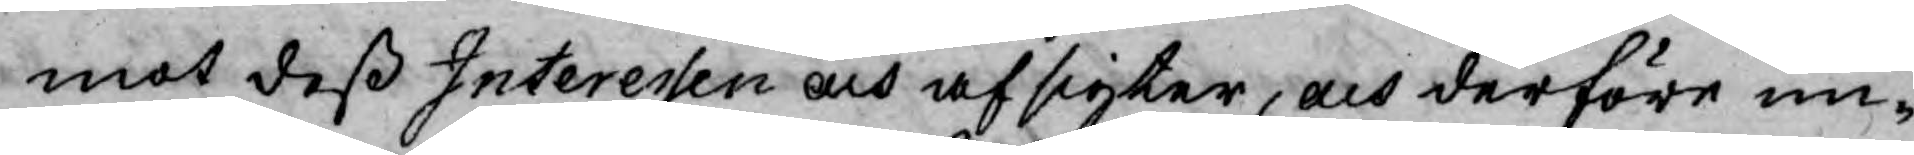mot deß Interessen och afsigter, och derföre un¬
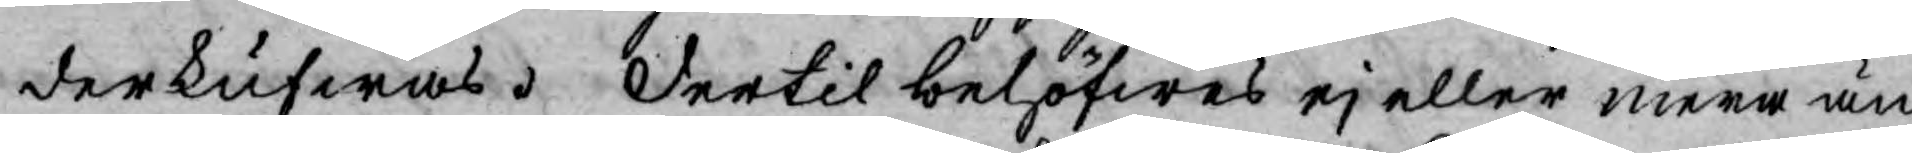derkufwas. Dertil behöfwes ej eller mera än
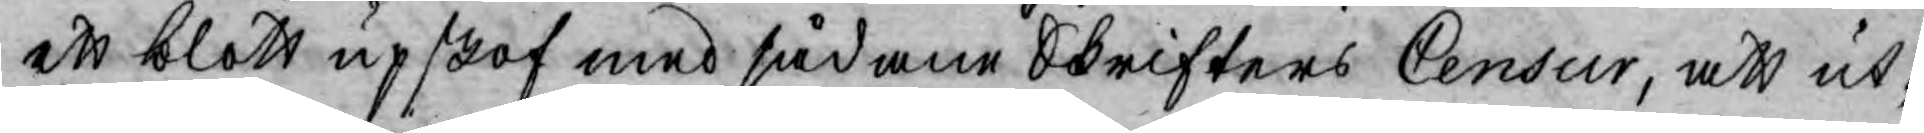ett blott upskof med sådane Skrifters Censur, att ut¬
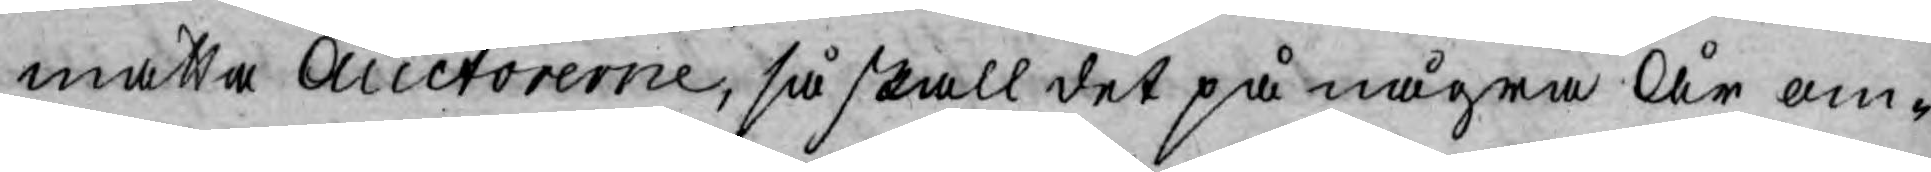matta Auctorerne, så skall det på några År om¬
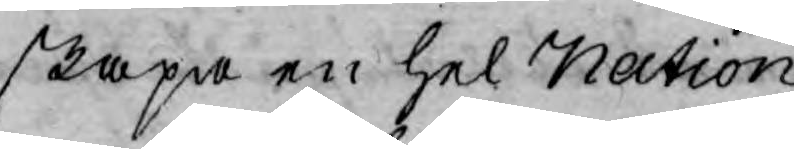skapa en hel Nation.
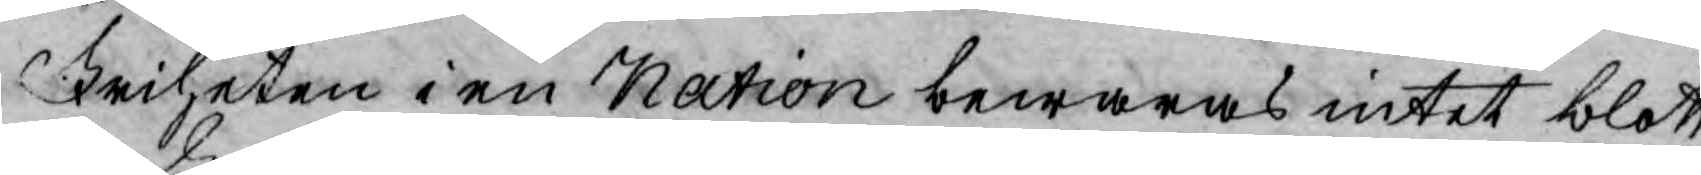Friheten i en Nation bewaras intet blott
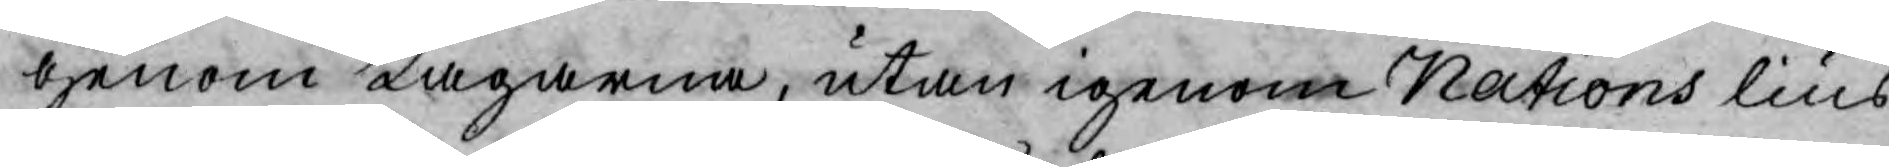genom Lagarna, utan igenom Nations lius,
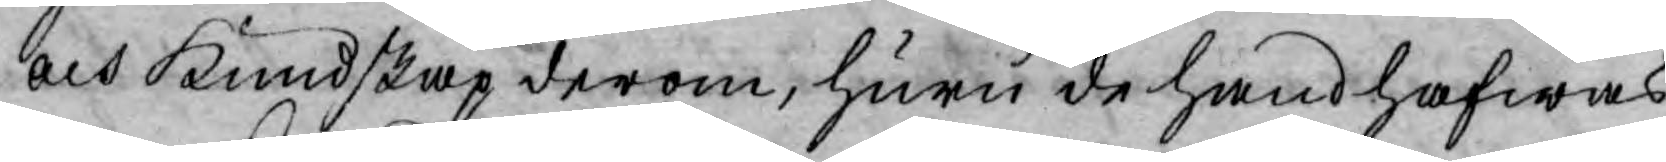och Kundskap derom, huru de hand hafwas.
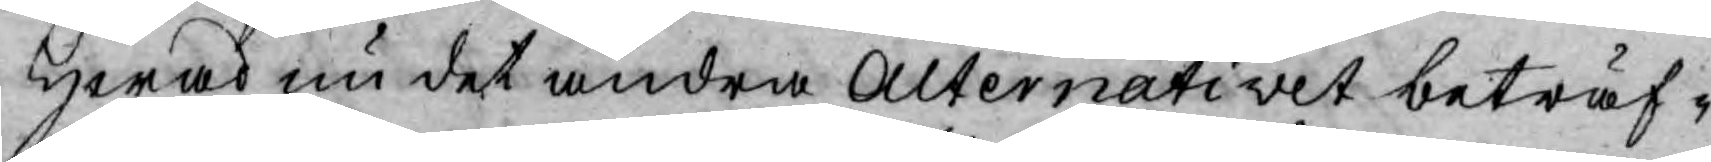Hwad nu det andra Alternativet beträf¬
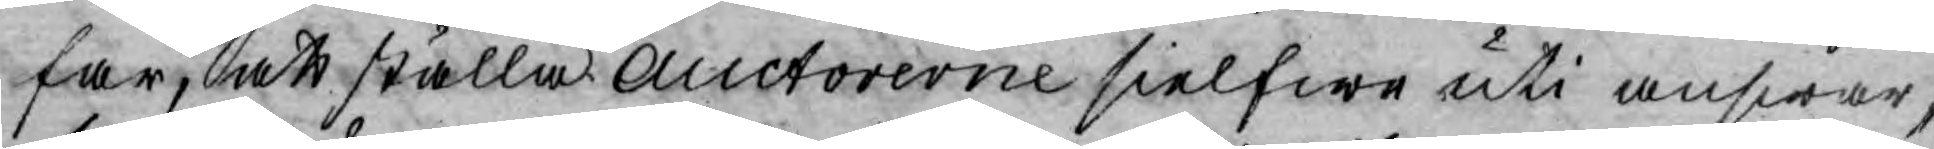far, att ställa Auctorerne sielfwe uti answar,
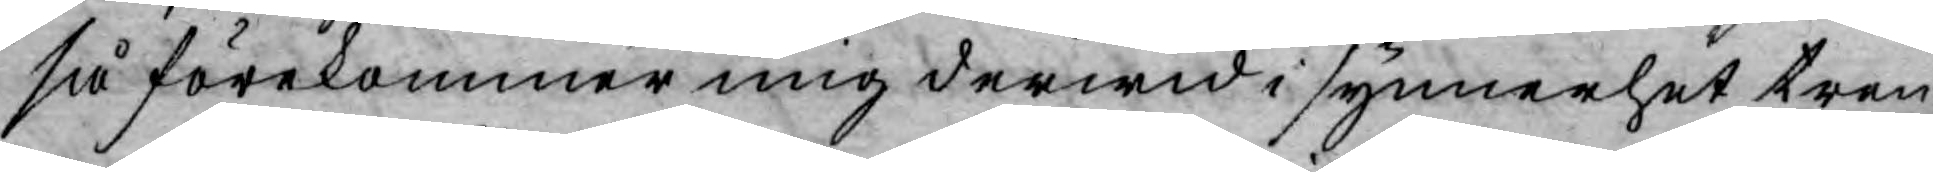så förekommer mig derwid i synnerhet tren¬
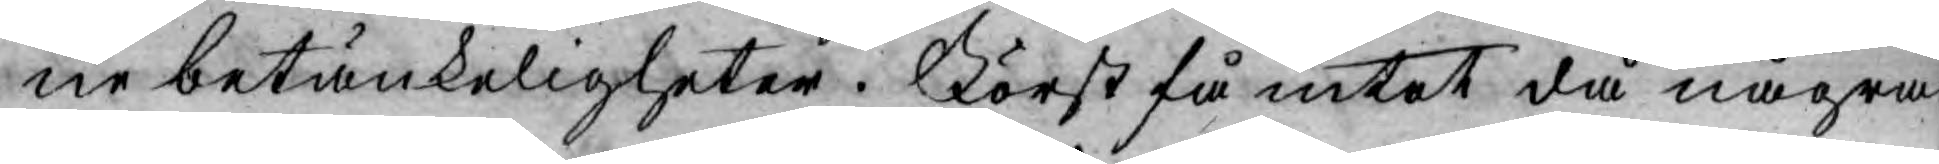ne betänkeligheter. Först få intet då några
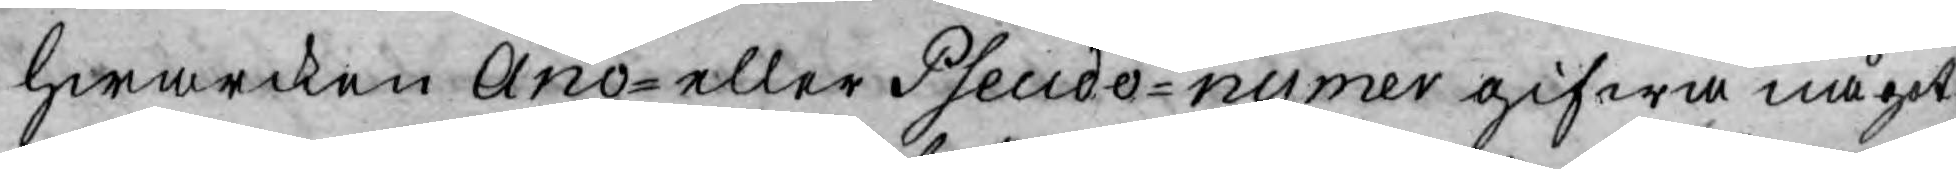hwarcken Ano- eller Pseudo-nymer gifwa något
